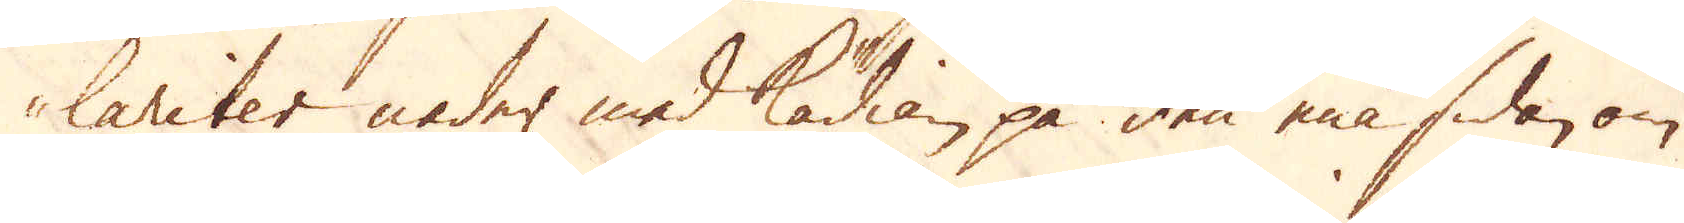lariter neder med Kädian på den ena sidan om
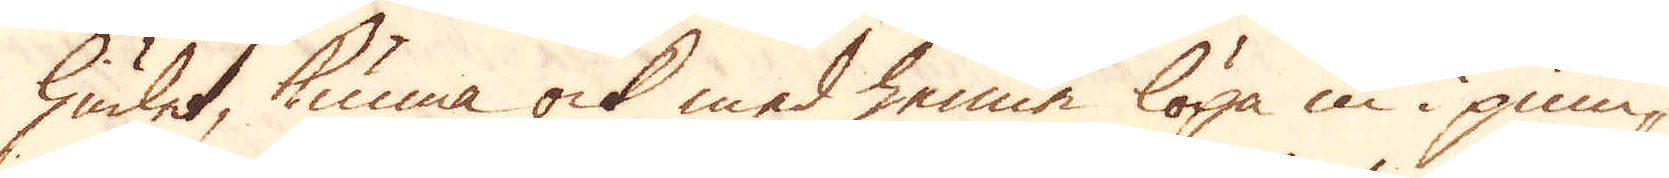hiulet, kunna ock med henne löpa in i pum-
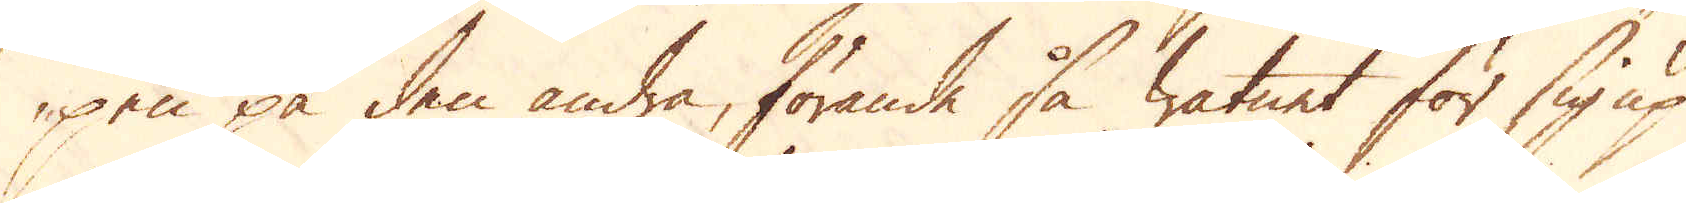pen på den andra, förande så watnet för sig up
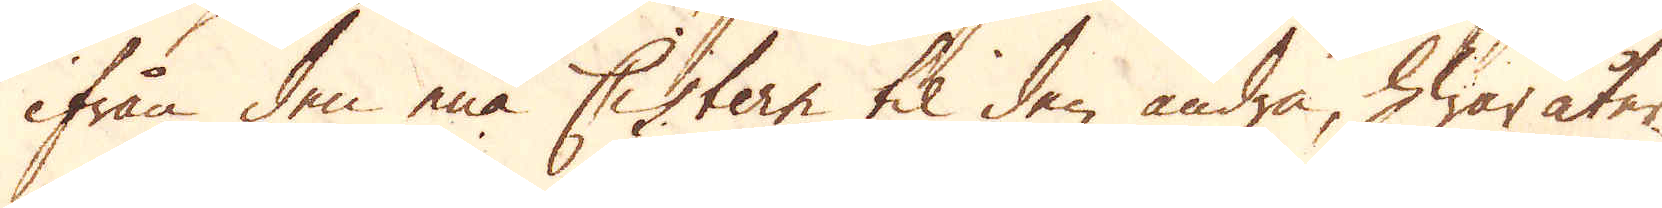ifrån den ena Cistern til den andra, hwar åter
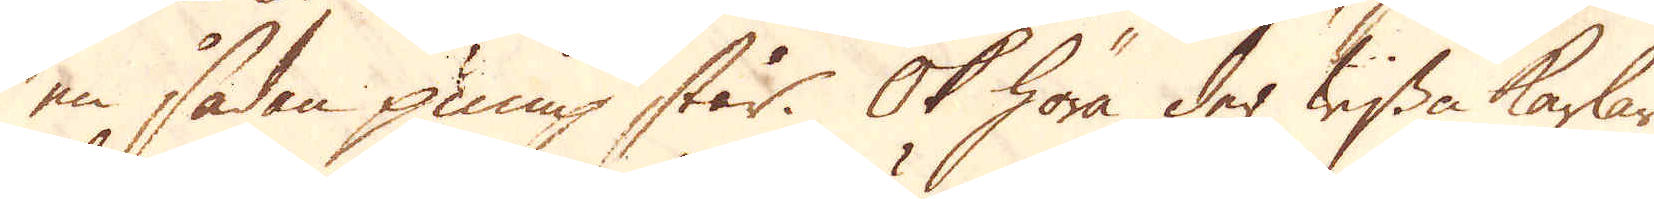en sådan pump står. Ok höra der wissa karlar
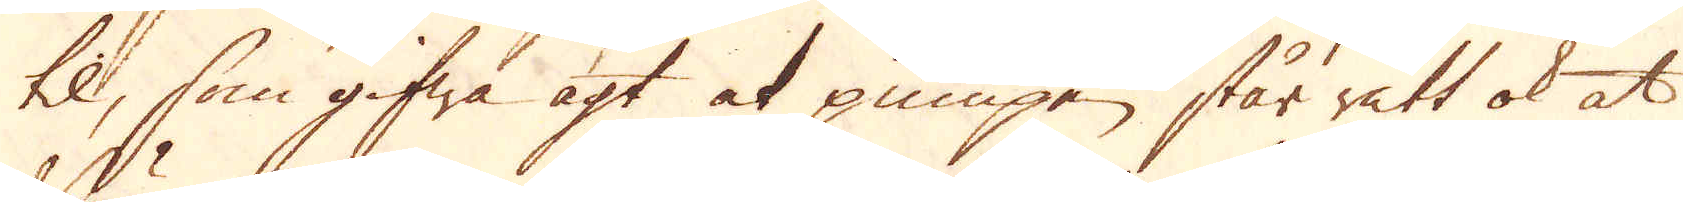til, som gifwa agt at pumpen står rätt ok at
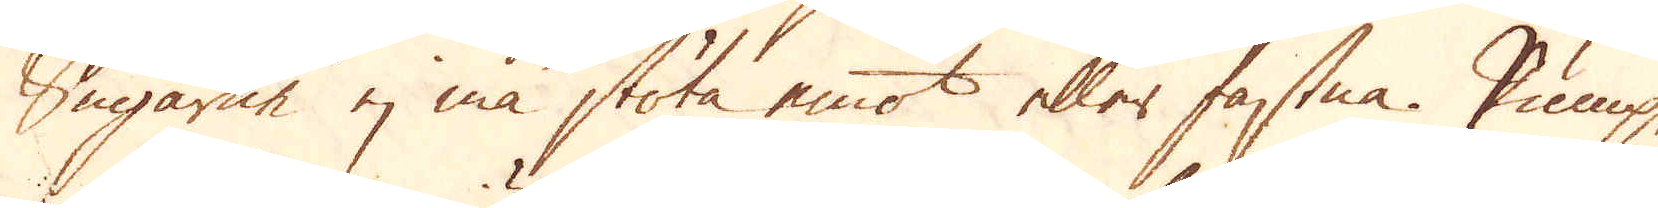Sugarne ej må stöta emot eller fastna. Pump-
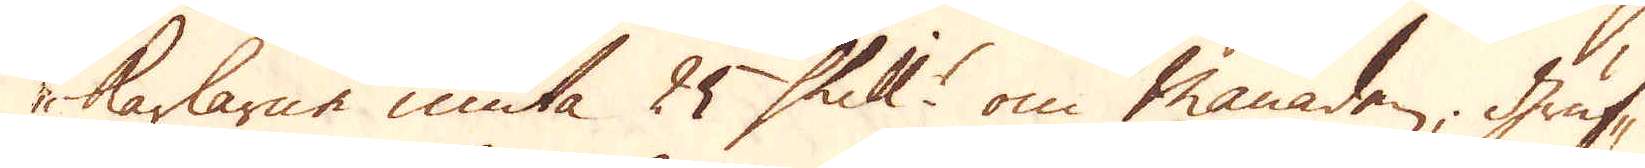karlarne niuta 25 Skill:r om månaden, gruf-
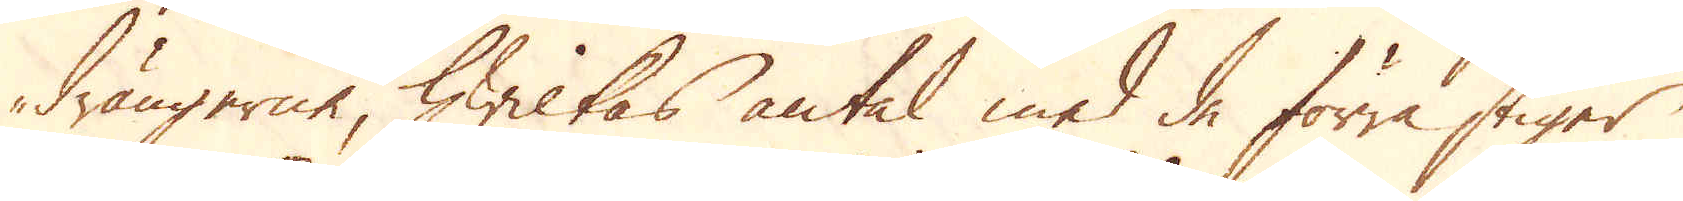drängerne, hwilkas antal med de förra stiger
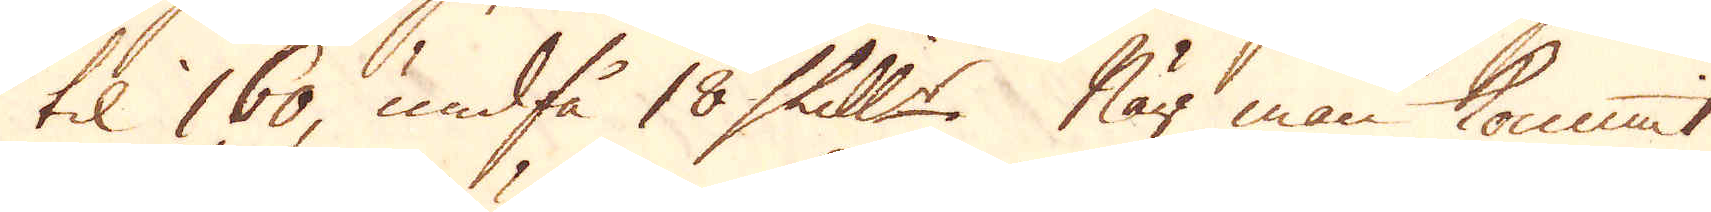til 160, undfå 18 Skill:r. När man kommit
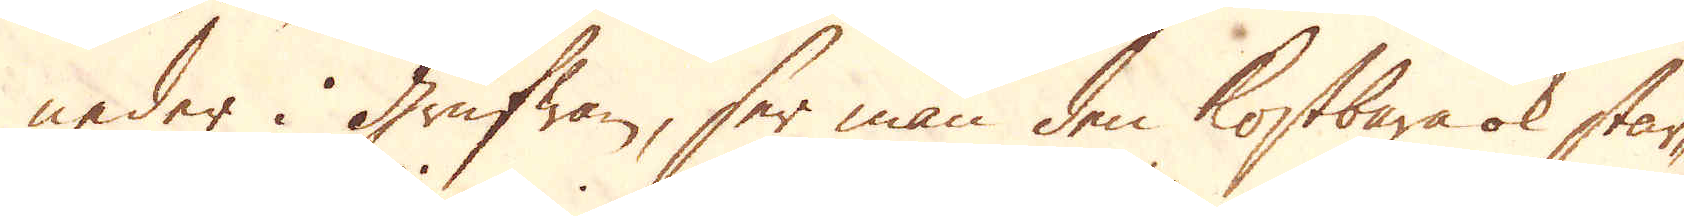neder i Grufwan, ser man den kostbara ok star-
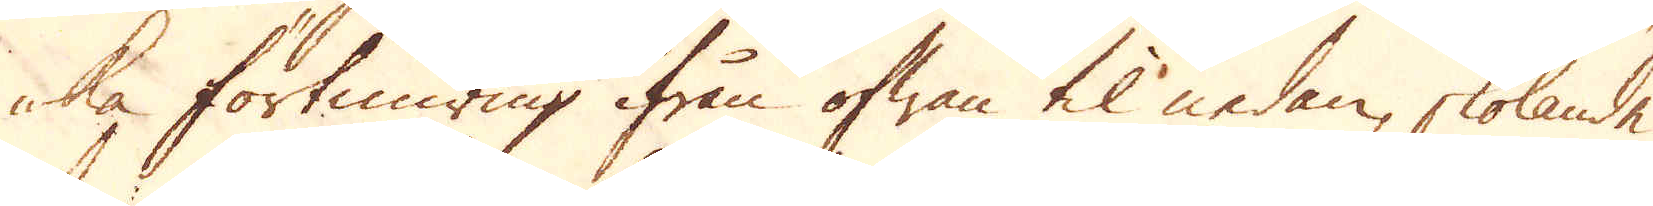ka förtimring ifrån ofwan til nedan, skolande
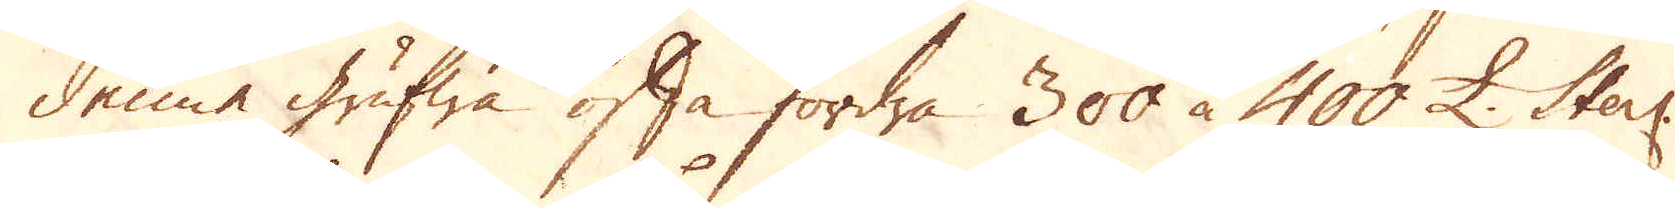denne grufwa ofta fordra 300 à 400 £. Sterl:
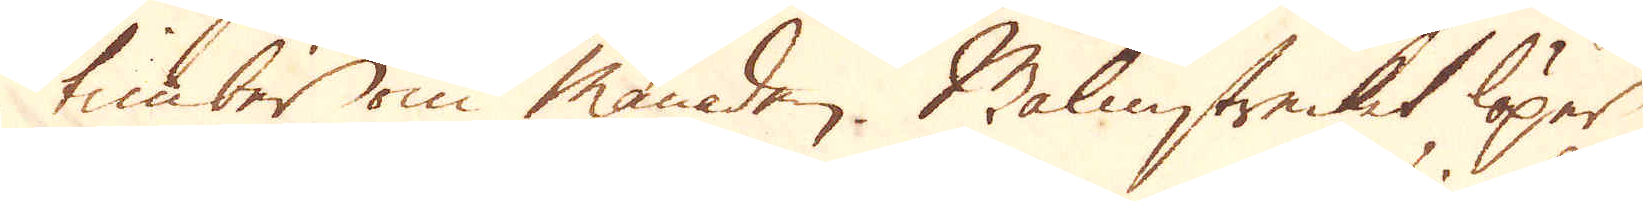timber om månaden. Malmstrecket löper
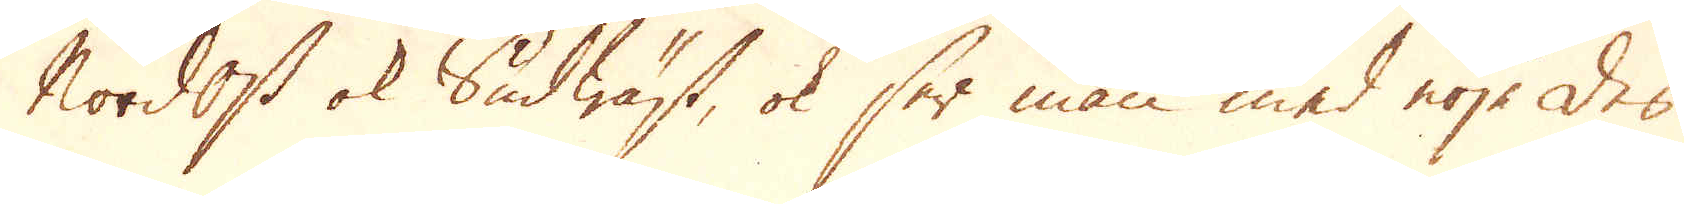Nordost ok Sudwäst, ok ser man med nöje des
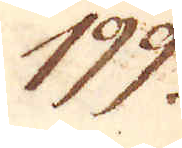199.
